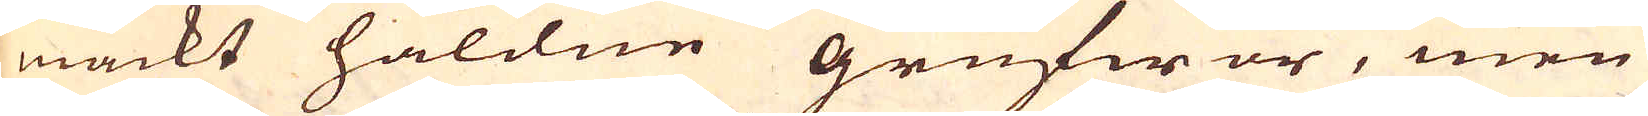mackt håldne grufwor, men
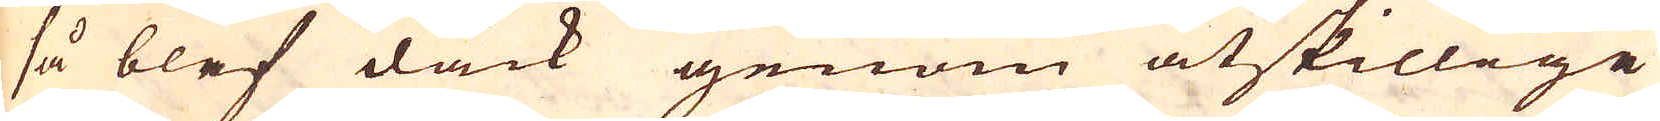så blef dåck genom åtskillige
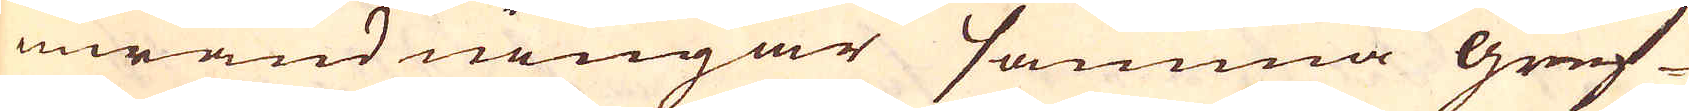inwändningar samma gruf-
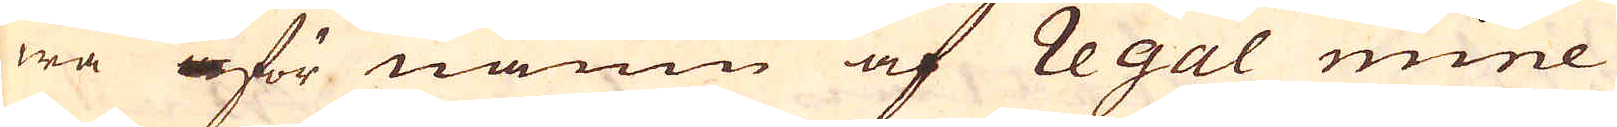wa för namn af Regal mine
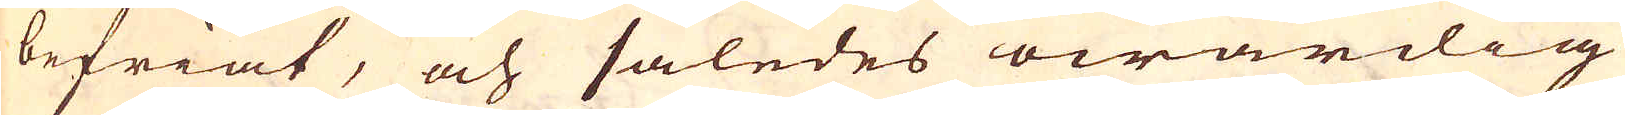befriat, och således owärdig
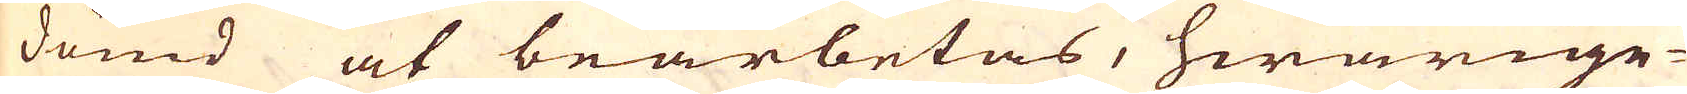dömd at bearbetas, hwarige-
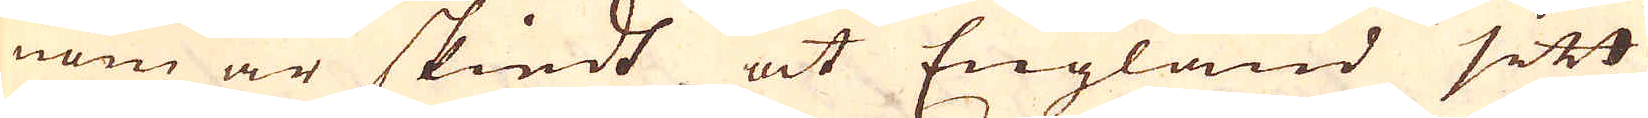nom är skiedt at England sitt
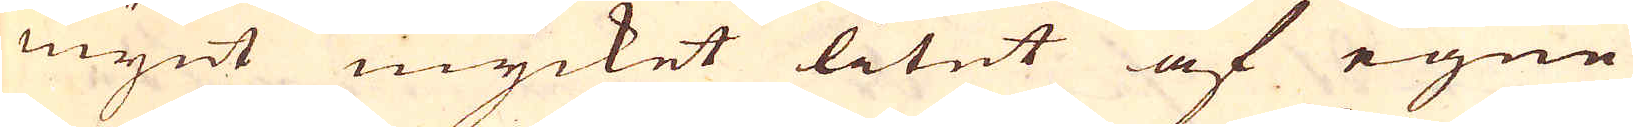mynt mycket litet af egne
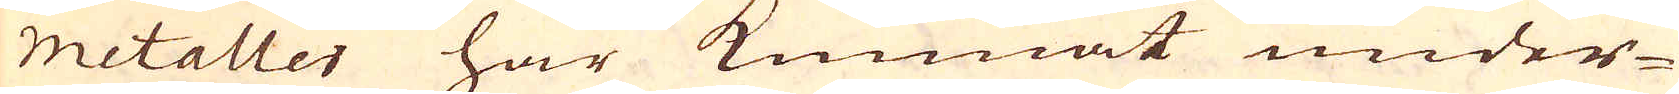metaller har kunnat under-
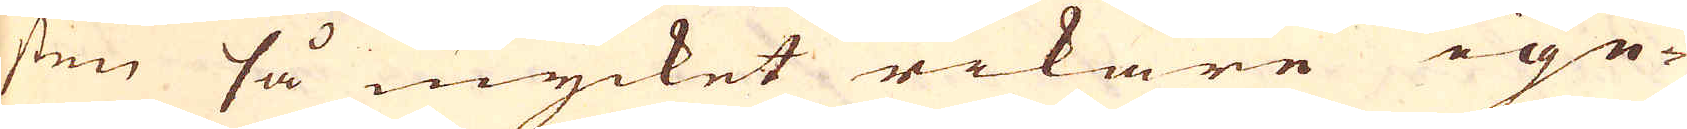sten så mycket rikare ige-
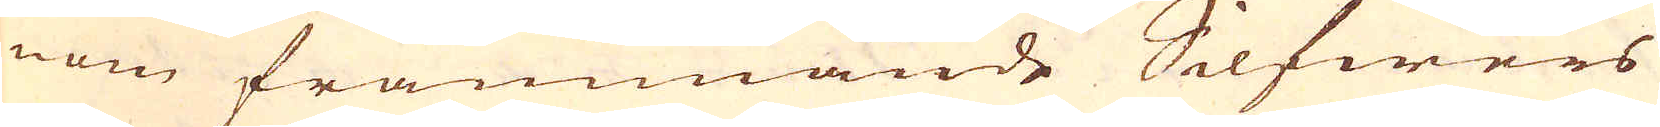nom främmande Silfwers
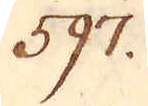597.
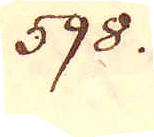598.
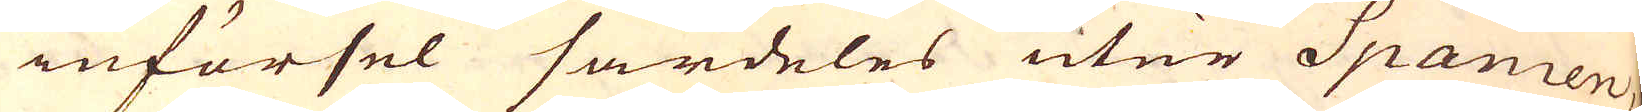införsel särdeles utur Spanien,
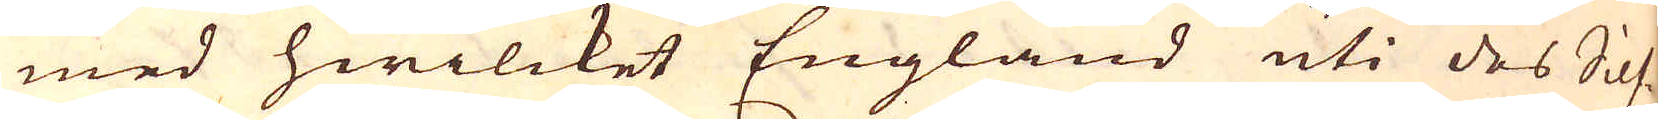med hwilcket England uti des Silf-
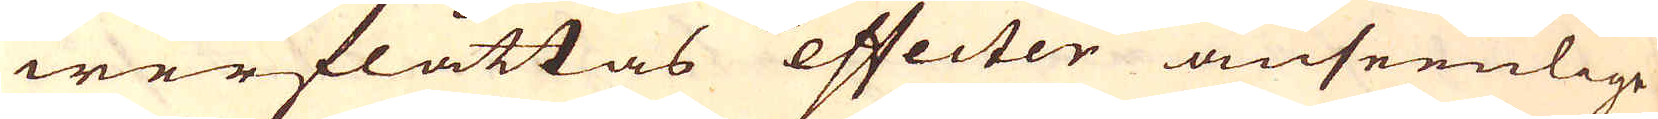werflåttas effecter anseenlige
